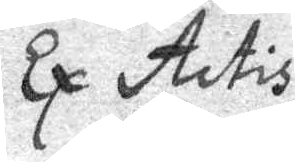Ex Actis
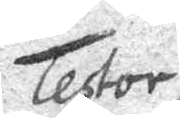Testor
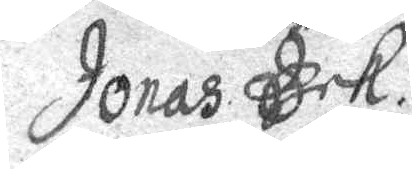Jonas Eek.
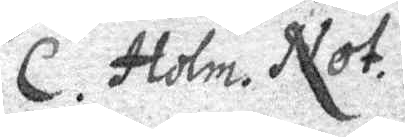C. Holm Not.
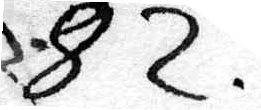82.
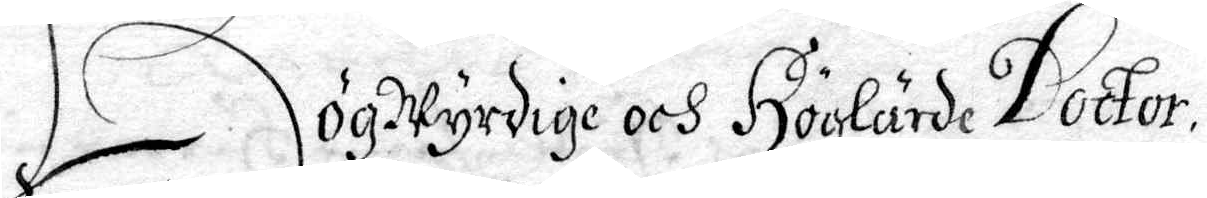HögWyrdige och Höghärde Doctor
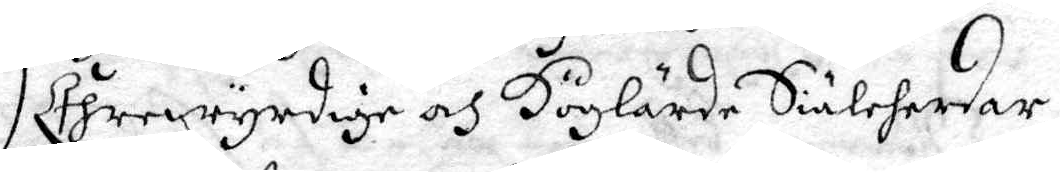Ehrewyrdige och Höglärde Siäleherdar,
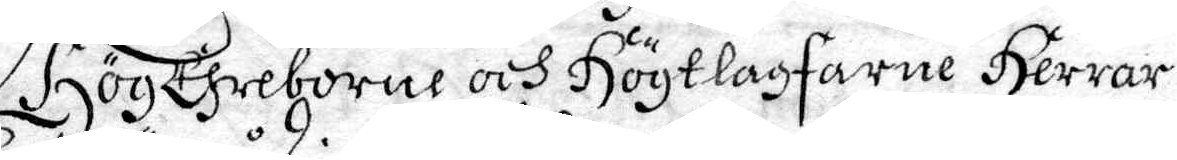HögEhreborne och Högtlagfarne Herrar
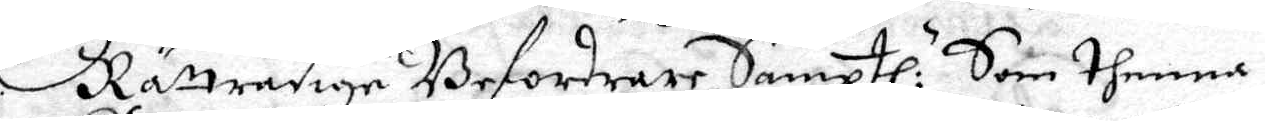Rättrådige Befordrar Samptl: Som thenna
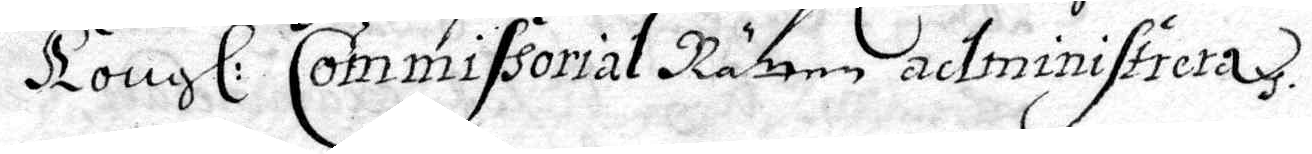Kongl. Commissorial Rätten administrera.
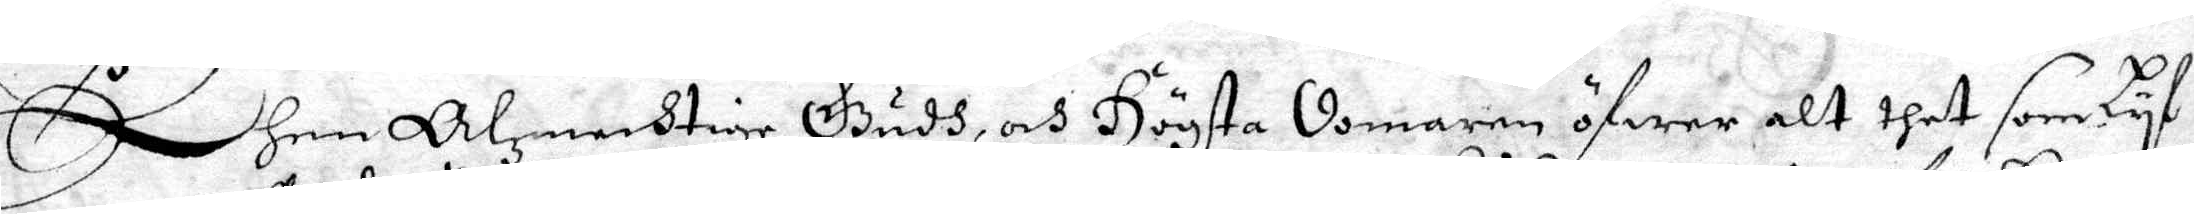Dhen Alzmechtige Gudh, och Högsta domaren öfwer alt thet som Lyf
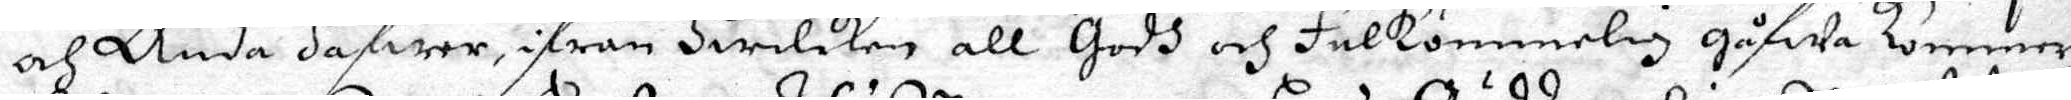och Anda hafwer, ifrån Hwilken all Godh och Fulkommelig gåfwa kommer
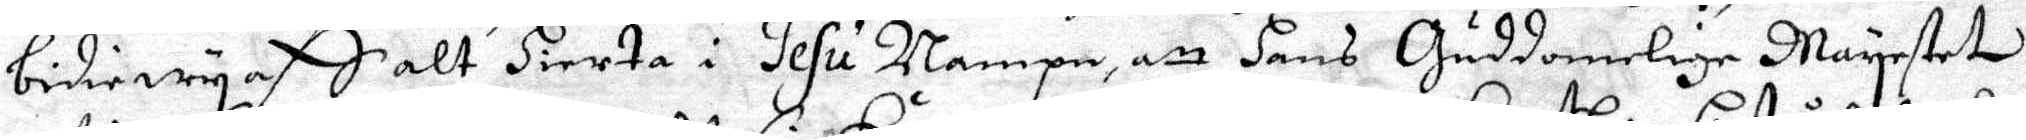bidie wy aff alt Hierta i Jesu Nampn, att hans Guddomelige Maysteter
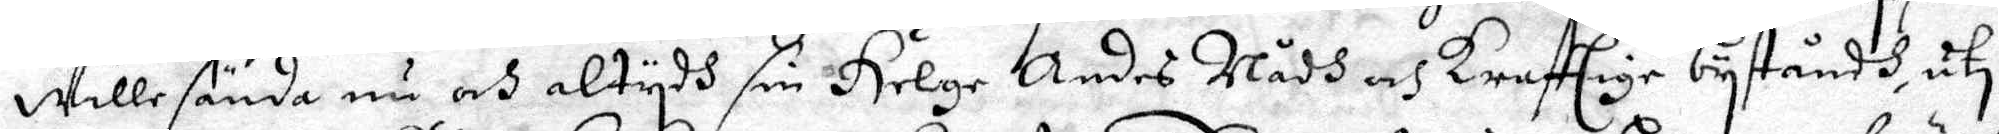wille sända nu och altydh sin Helge Andes Nådh och krestlige byståndh, uti
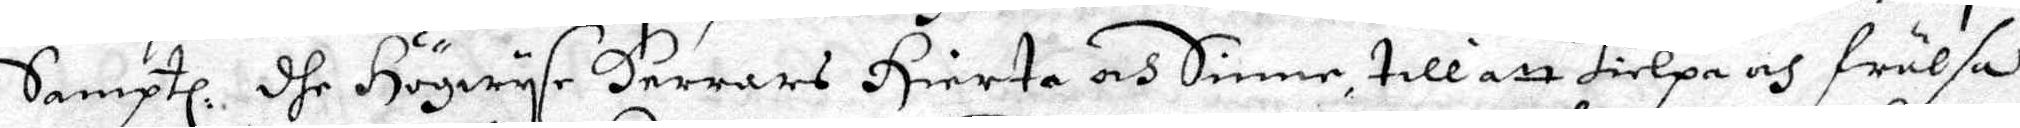Samptl. dhe Högwyse Herrars Hierta och Sinne till att hielpa och frälsa
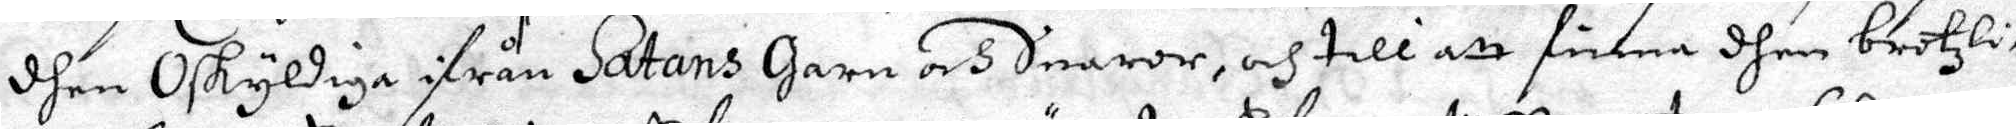dhen Oskyldiga ifrån Satans Garn och Snaror, och till att finna dhen brotzli¬
